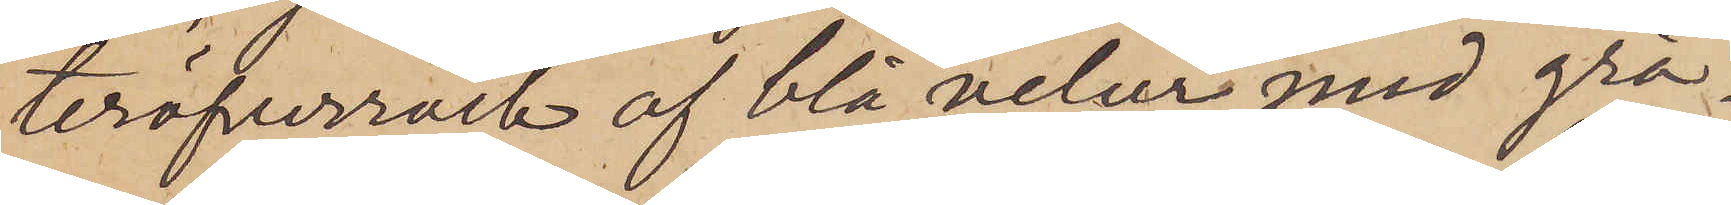teröfverrock af blå velur med grå¬
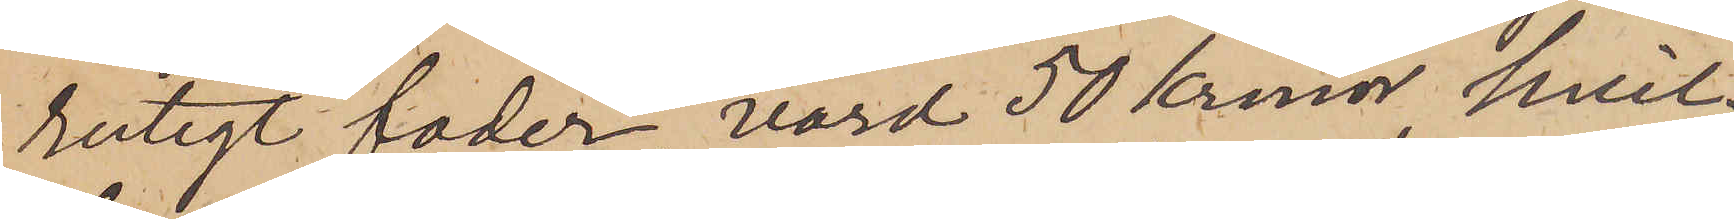rutigt foder, värd 50 kronor, hvil¬
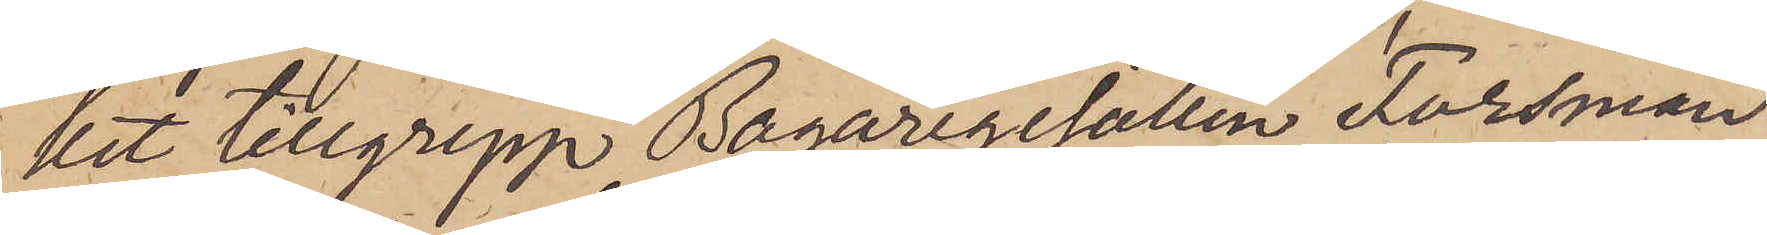ett tillgrepp Bagaregesällen Forsman
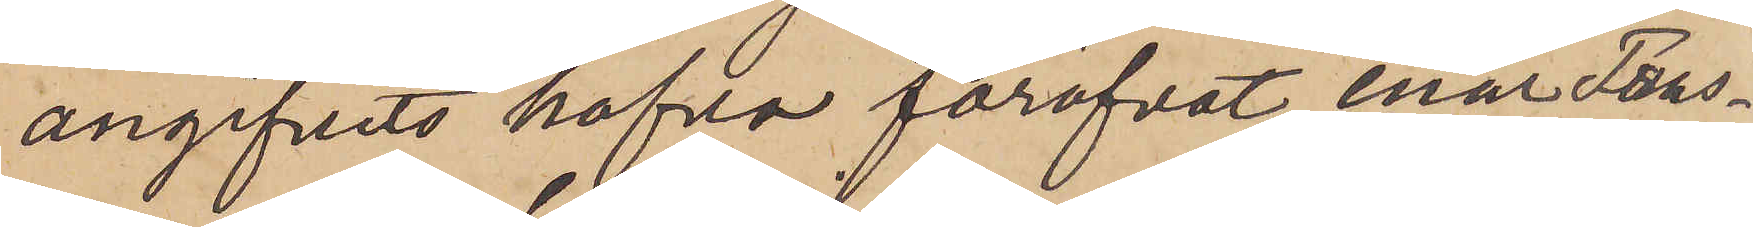angifvits hafva föröfvat, enär Fors¬
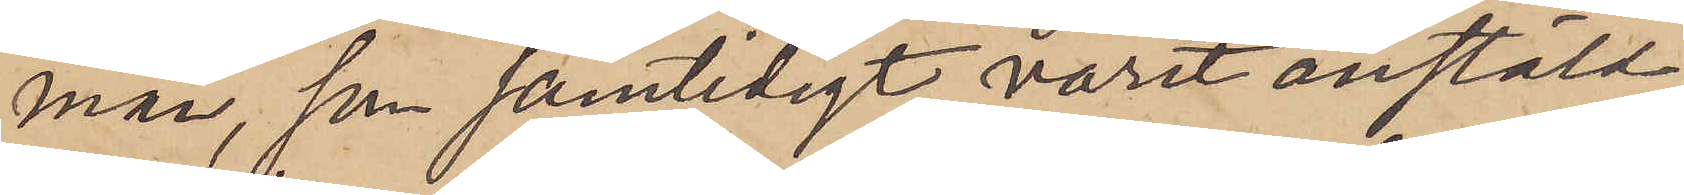man, som samtidigt varit anstäld
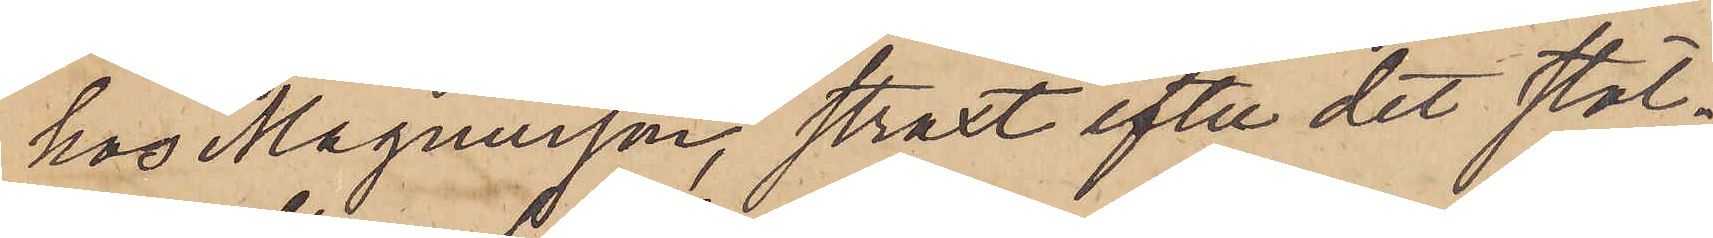hos Magnusson, straxt efter det stöl¬
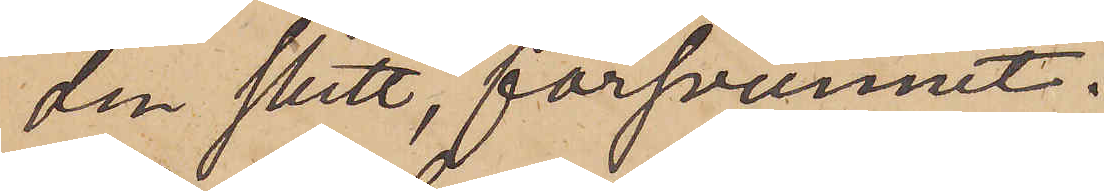den skett, försvunnit.
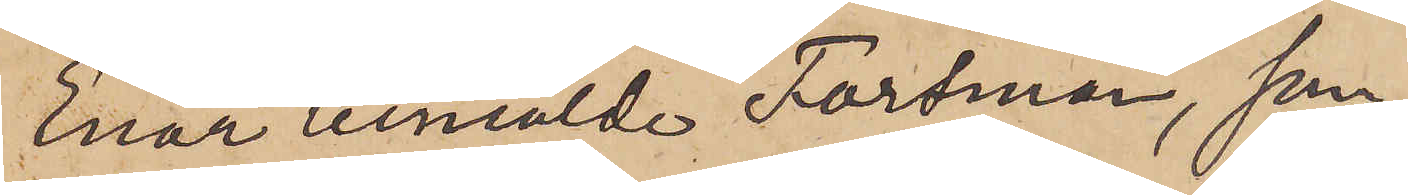Enär anmälde Forsman, som,
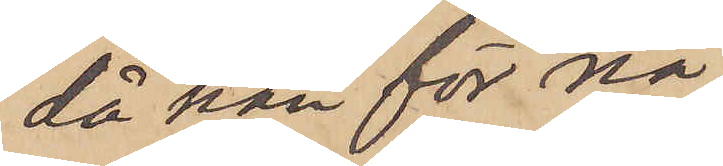då han för nå¬
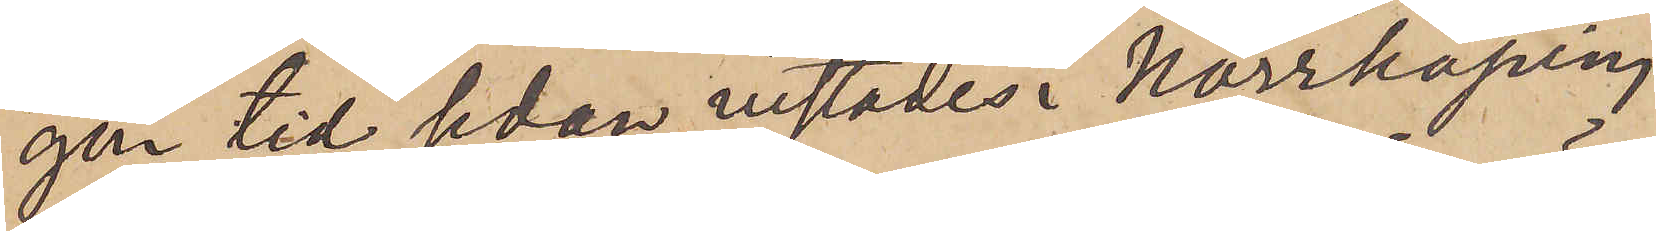gon tid sedan vistades i Norrköping,
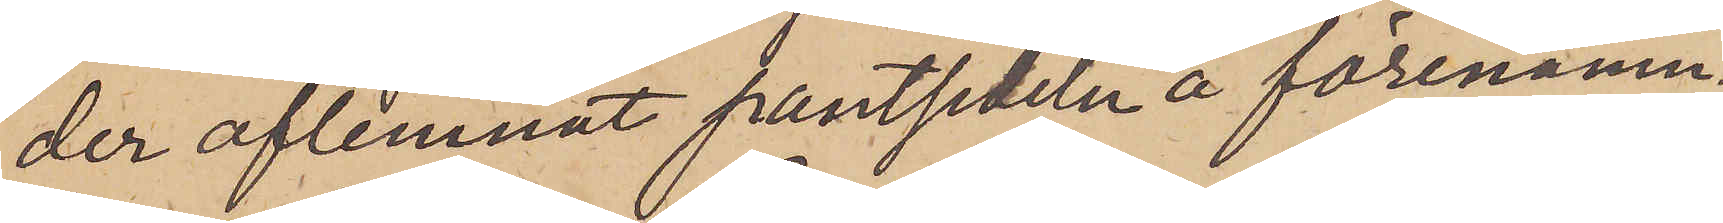der aflemnat pantsedeln å förenämn¬
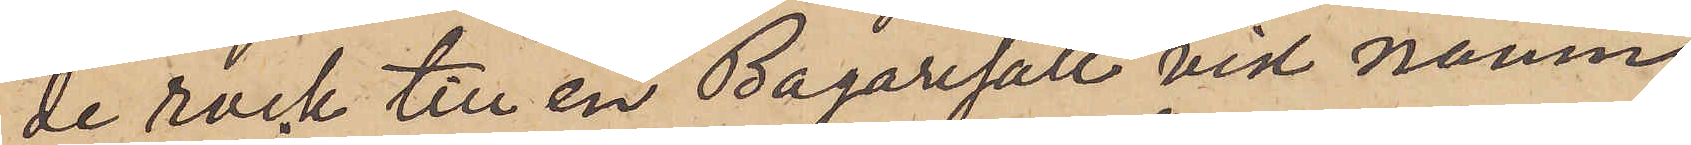de rock till en Bagargesäll vid namn
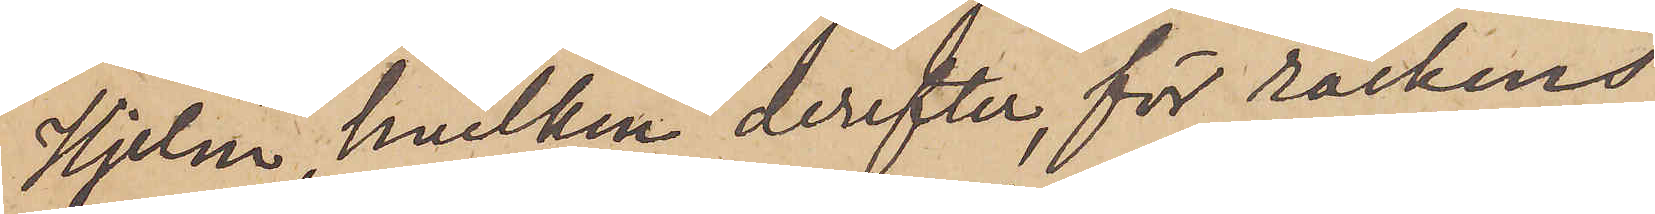Hjelm, hvilken derefter, för rockens
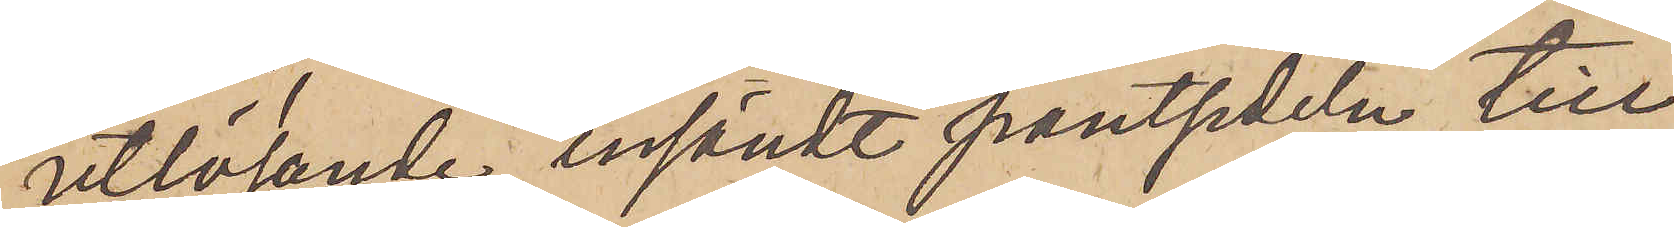utlösande, insändt pantsedeln till
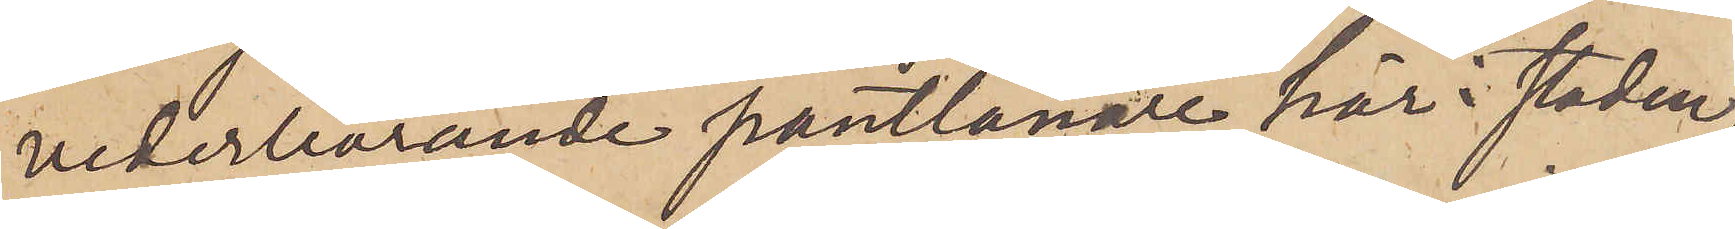vederbörande pantlånare här i staden,
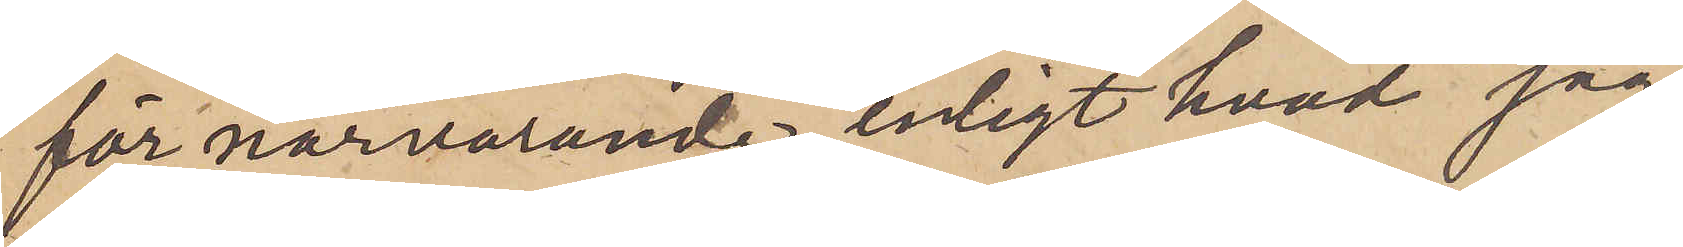för närvarande, enligt hvad jag
